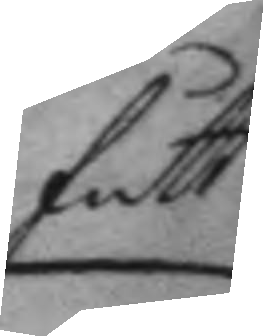fått
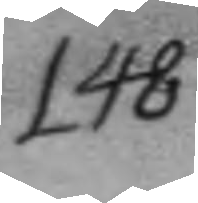148.
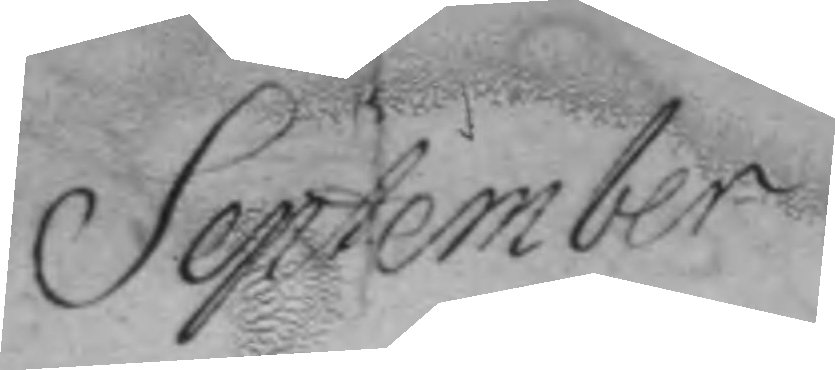September
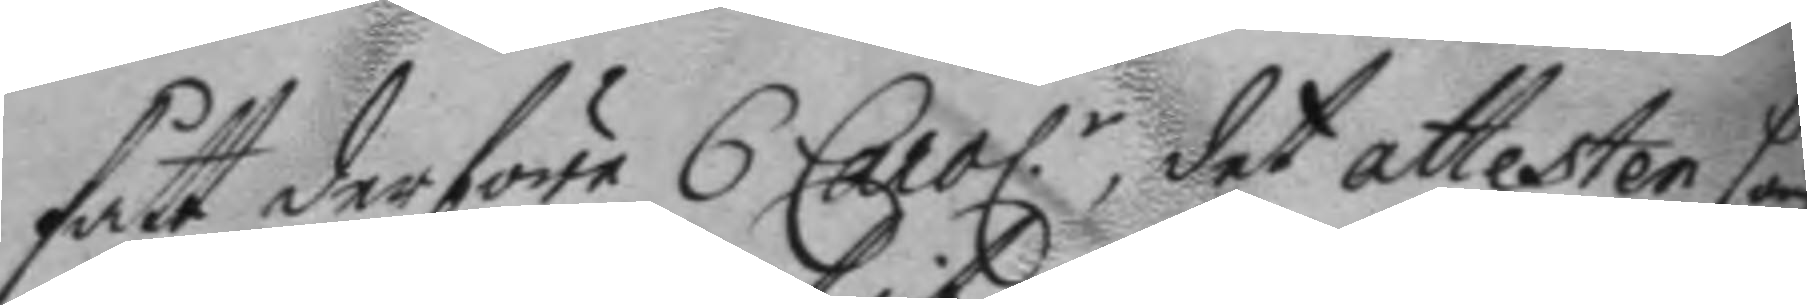fått derföre 6 Carol.r, det attesten som
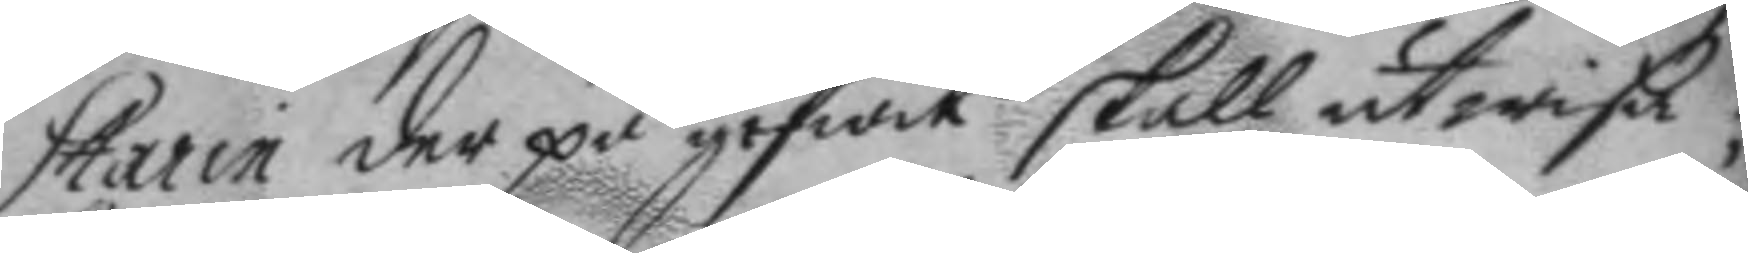Starin der på gifwit skall utwisa;
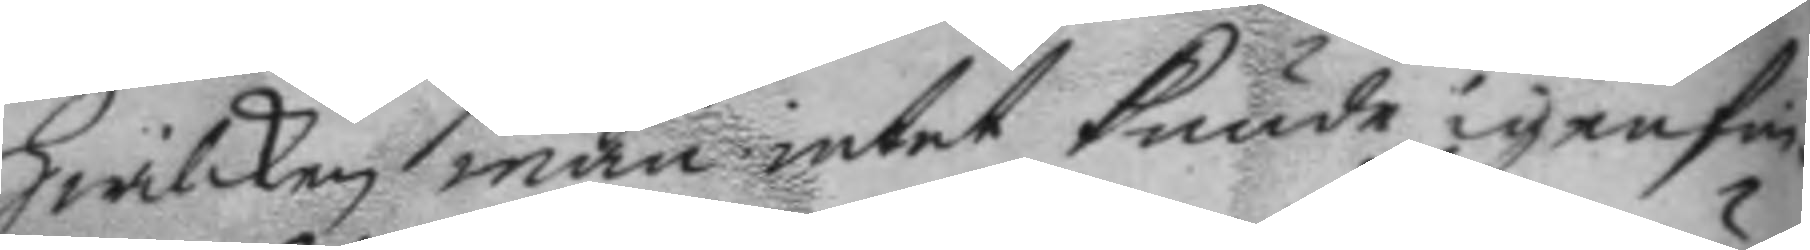hwilken man intet kunde igenfin¬
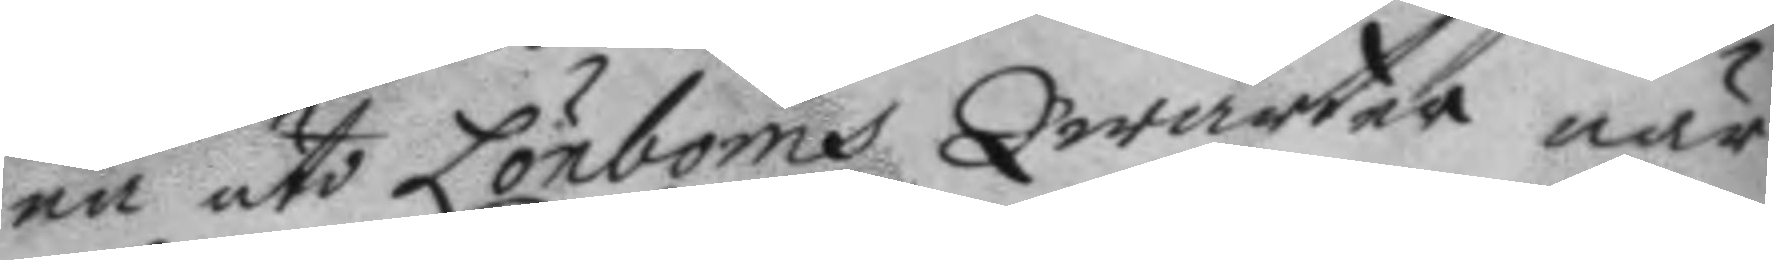na uti Lönboms Qwarter när
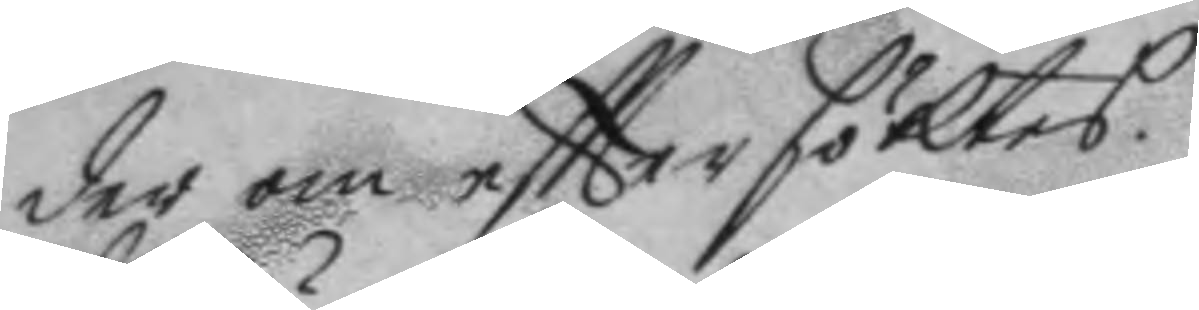der om efttersöktes.
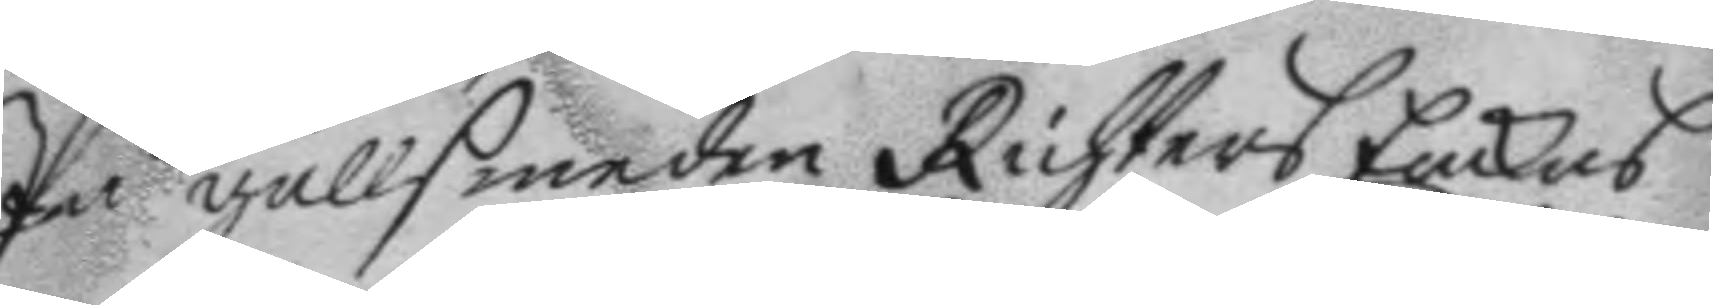På gullsmeden Richters Enckas
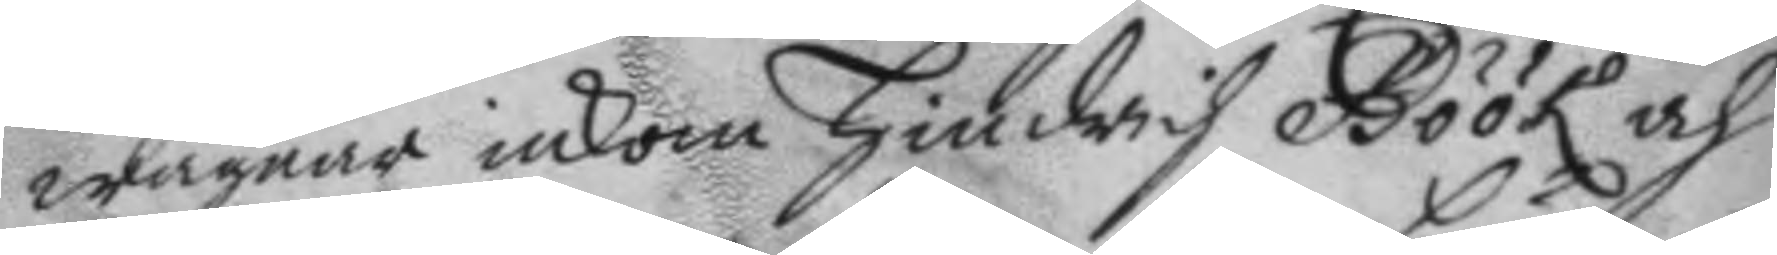wägnar inkom Hindrich Böök och
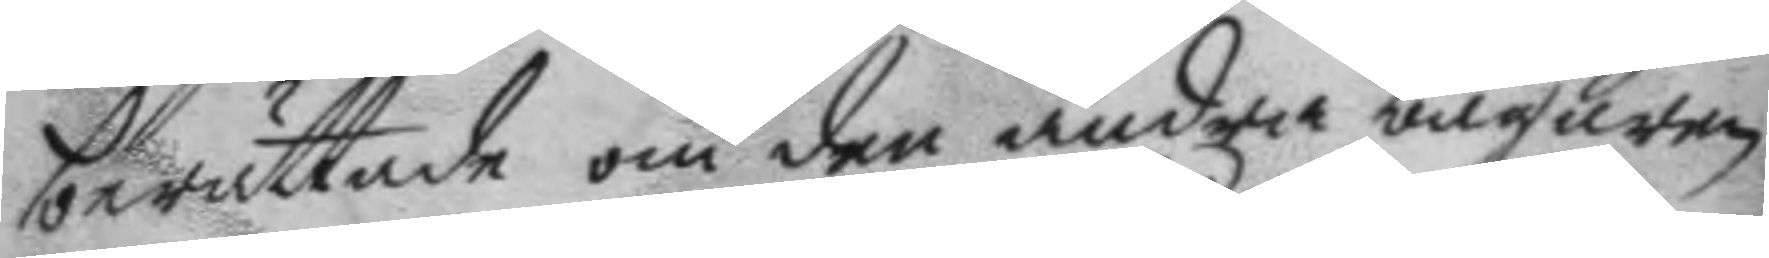berättade om den andra bägaren
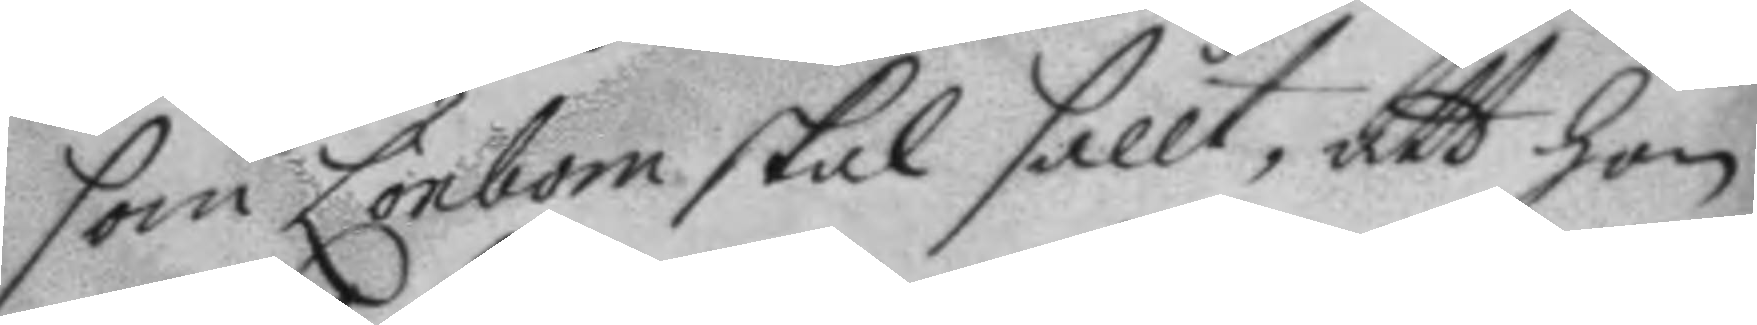som Lönbom skall sållt, att hon
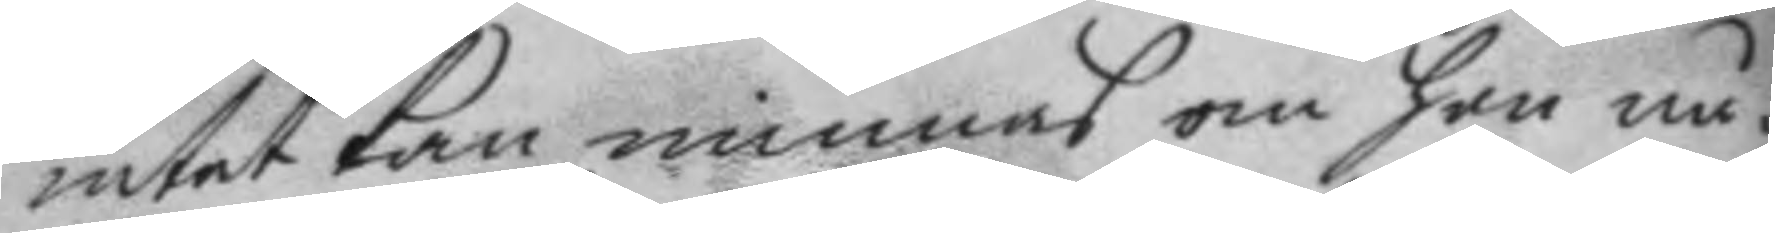intet kan minnas om hon nå¬
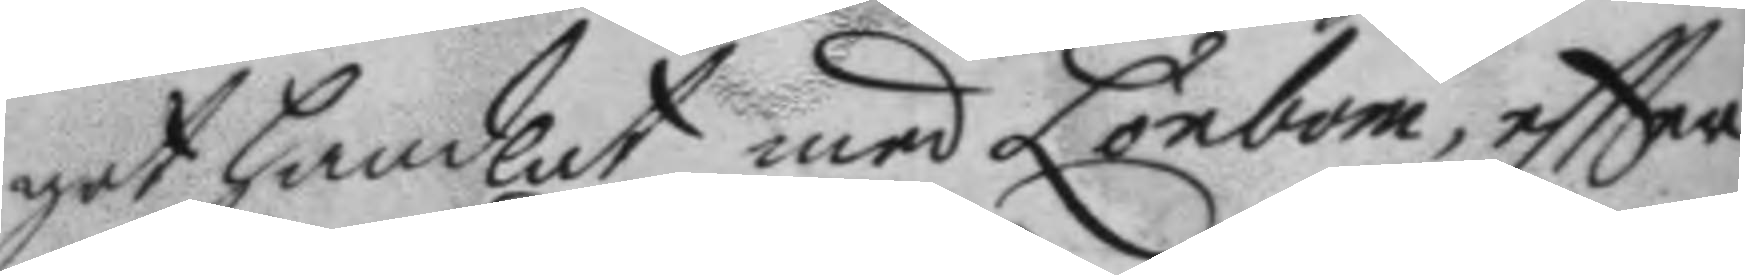got handlat med Lönbom, eftter
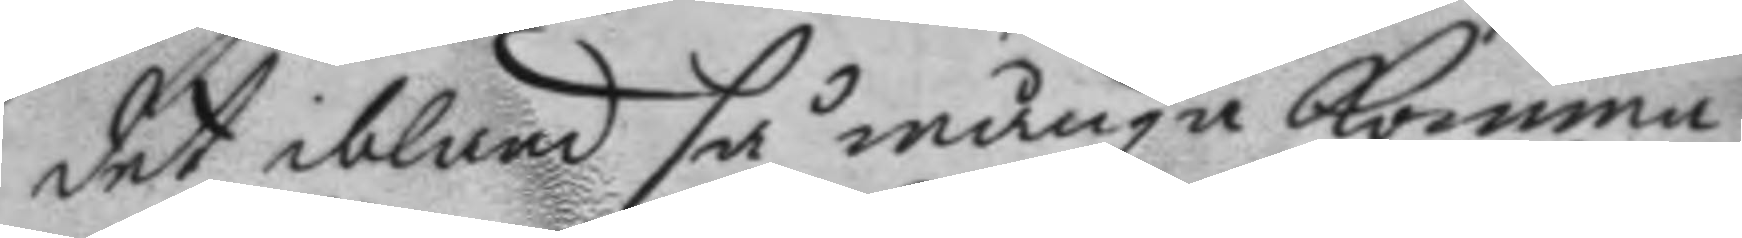det ibland så många komma
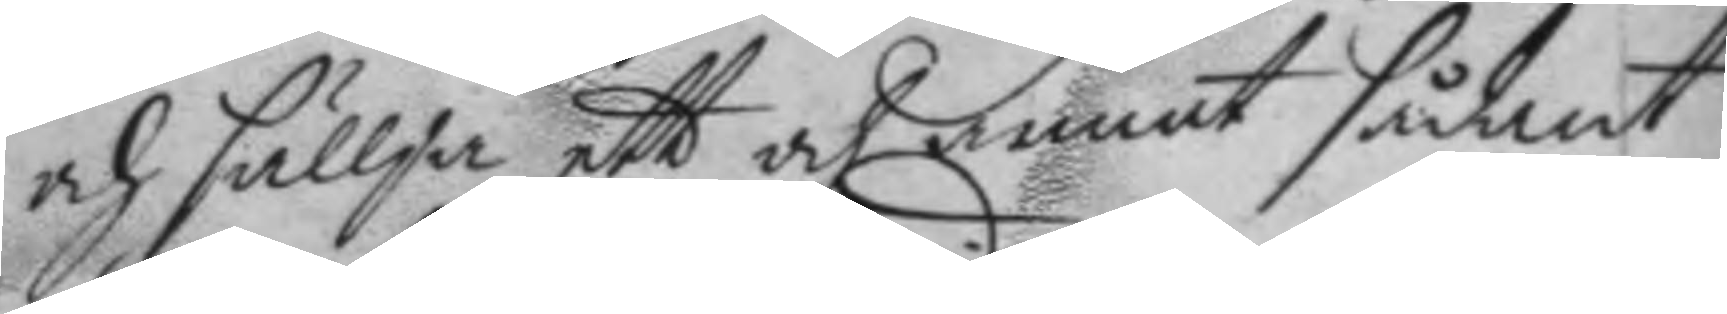och sällja ett och annat sådant
